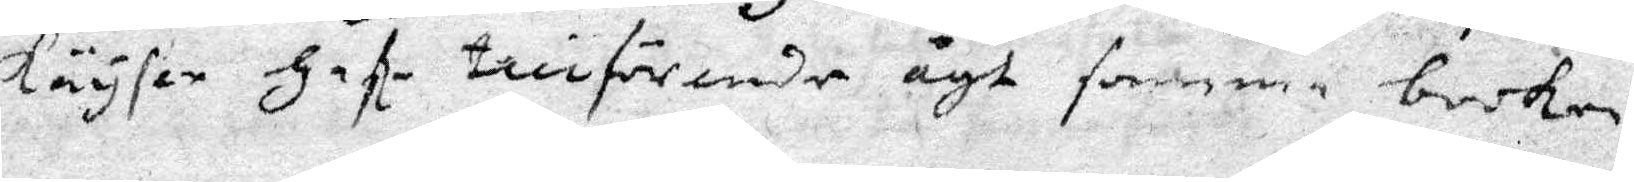Käyser Hafe tillförende ägt samma boken.
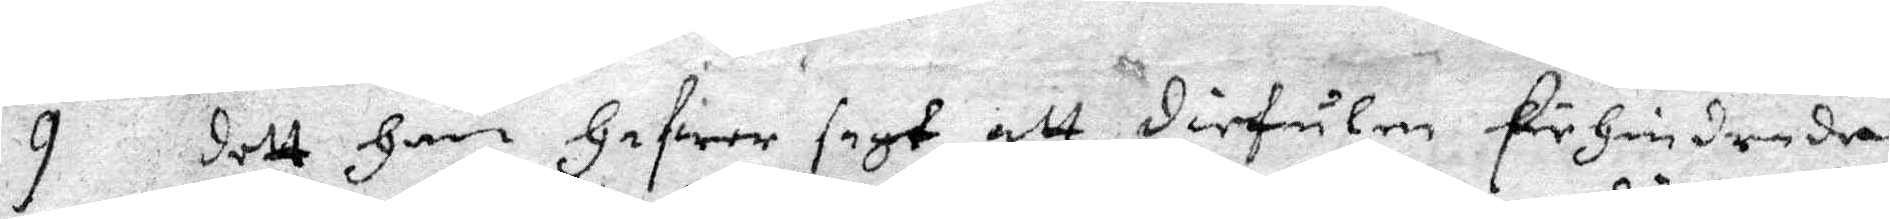9 Dett Han Hafwer sagt att Diefulen Förhindrade
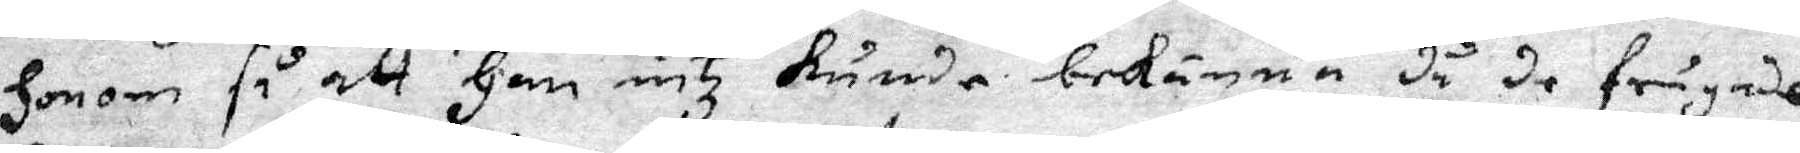Honom så att Han intz Kunde bekänna då de frågade
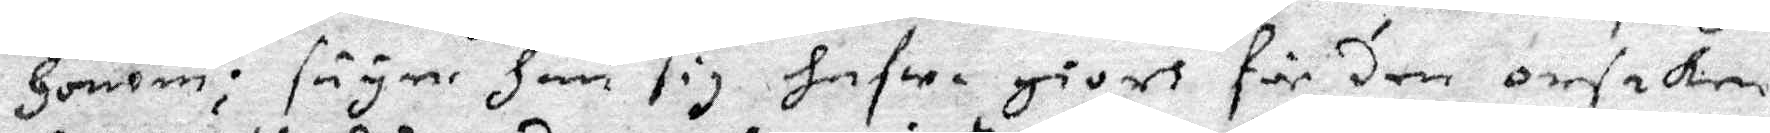Honom; säyer Han sig hafwa givet för den orsaken
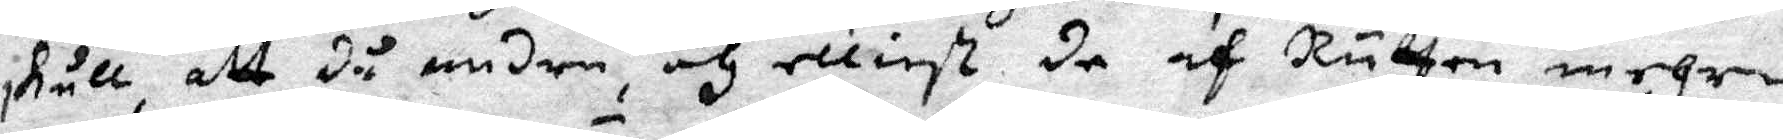skull, att då andre och elliest de af Rätten mehre
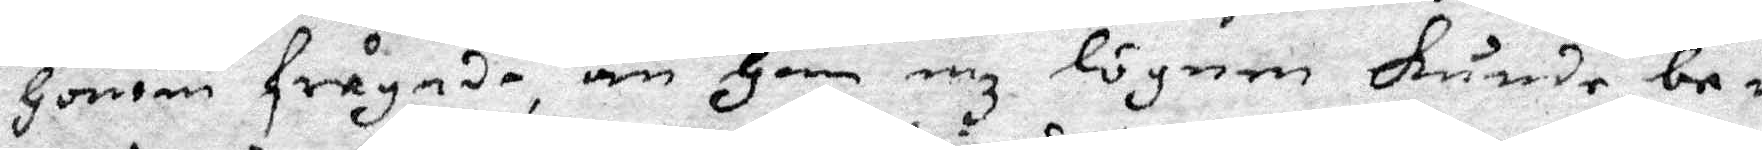Honom frågade, än Han enz lögnen kunde be¬
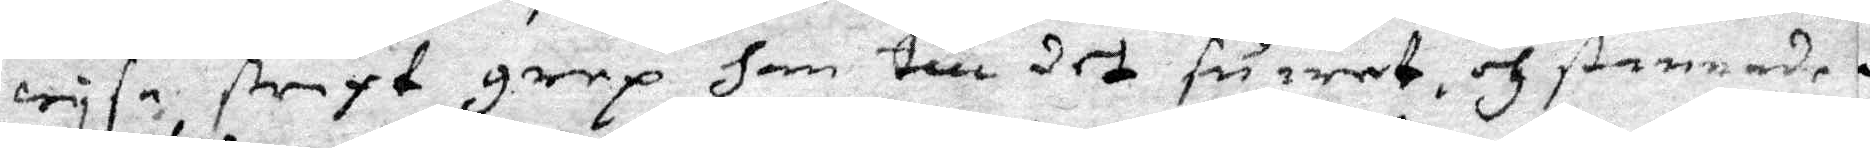wysa straxt grep han till det suaret, och stannade
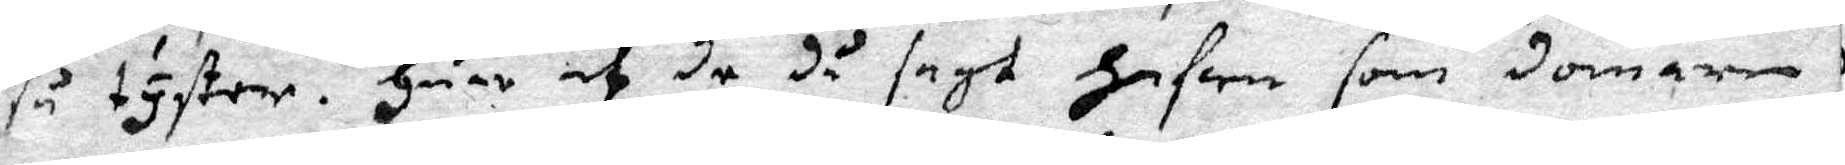så tyster. Huar af de då sagt Hafwe som domare
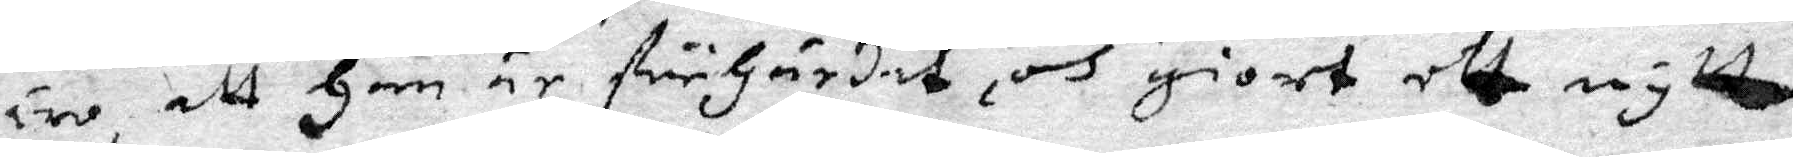äre, att Han är förhärdat, och giort ett nytt
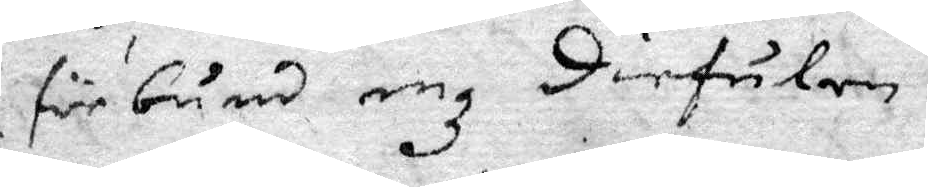förbund enz Diefulen.
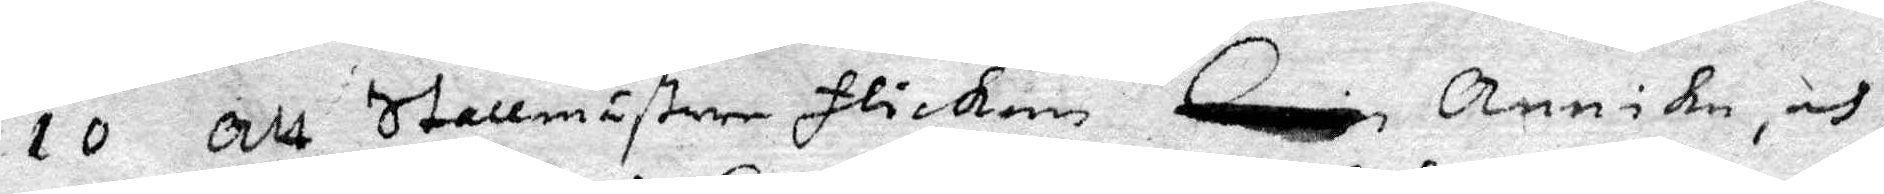10 Att Stallmästare flickan Annika, och
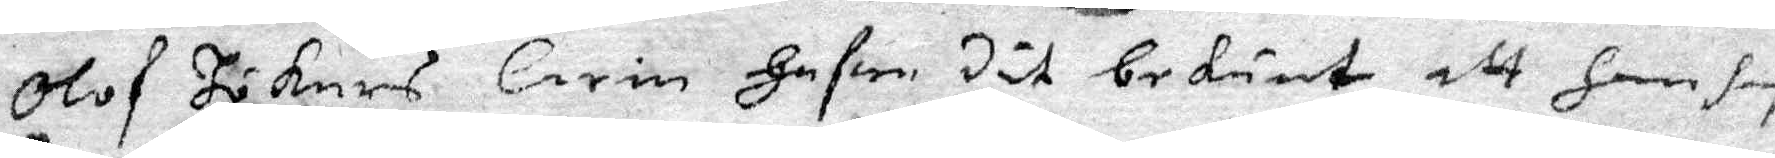Olof Hökers Carin Hafwe dät bekänt, att Han hafe
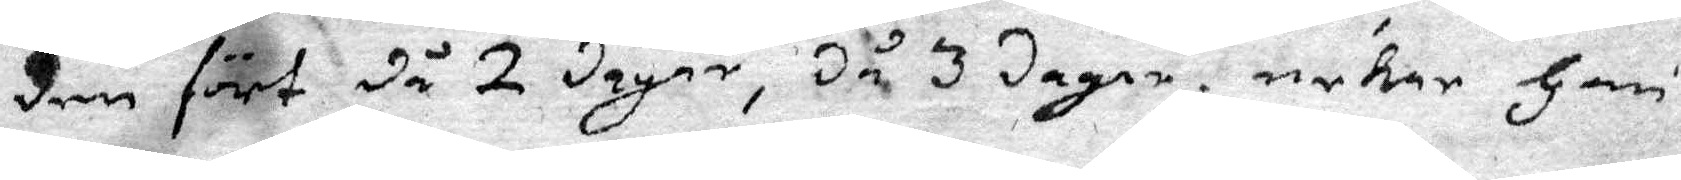dem fört då 2 dagar, då 3 dagar. nekar Han
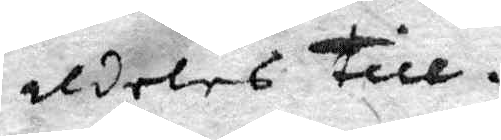aldeles till.
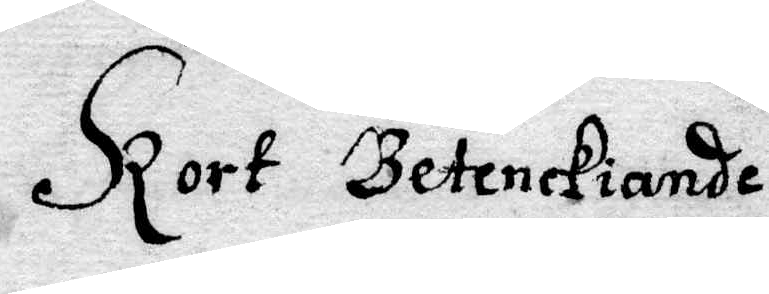Kort Betenckiande
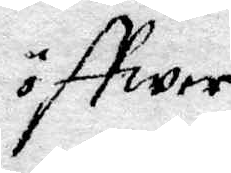öffwer
